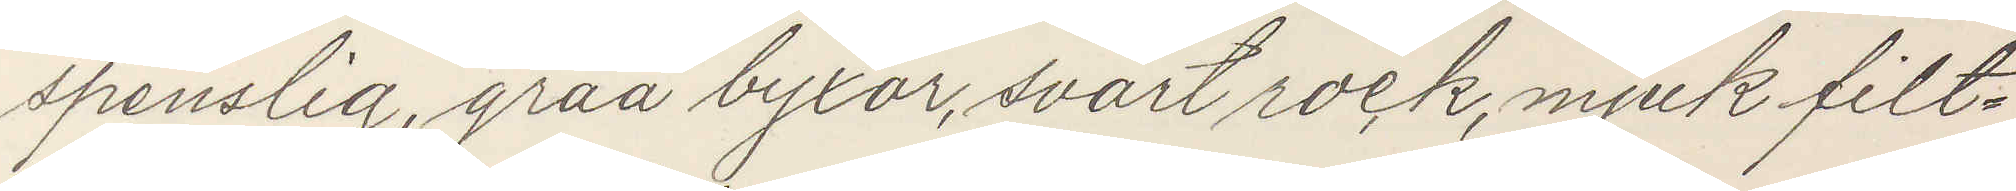spenslig, gråa byxor, svart rock, mjuk filt¬
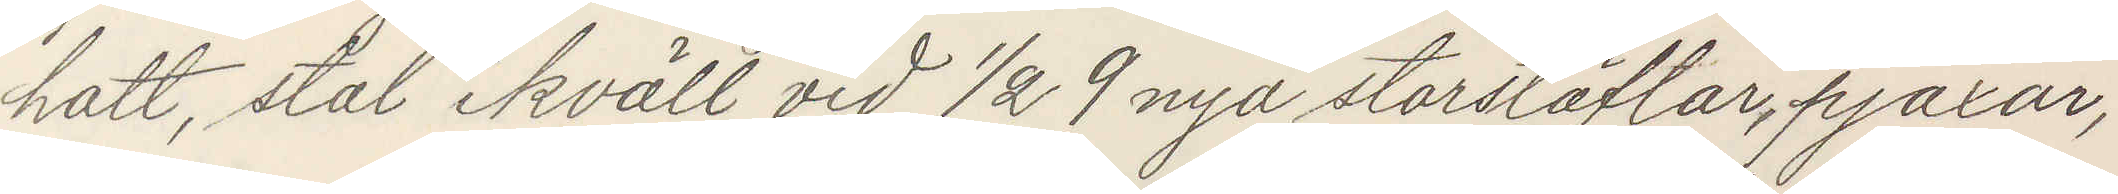hatt, stal ikväll vid ½ 9 nya storstöflar, pjäxor,
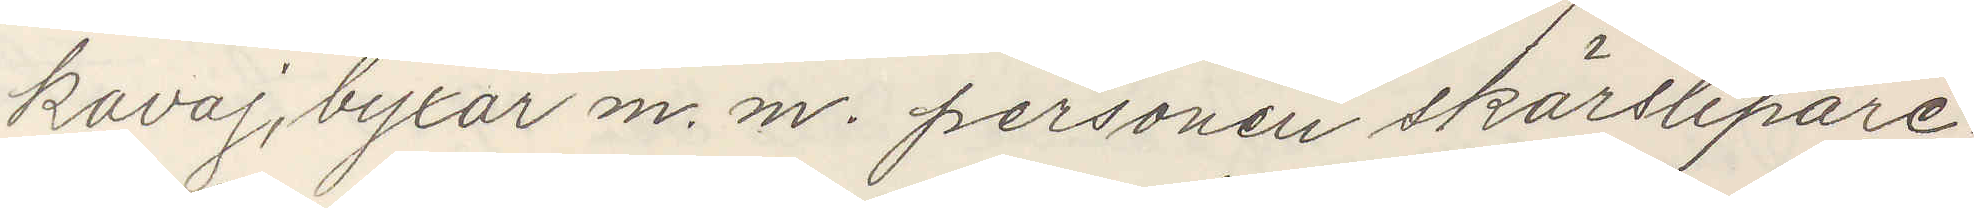kavaj, byxor m. m. personen skärslipare.
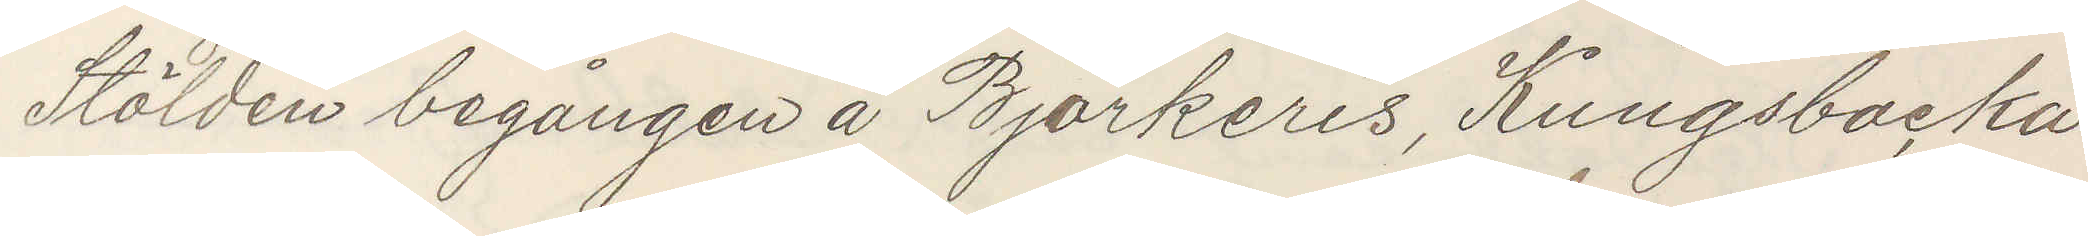Stölden begången å Bjorkeris, Kungsbacka
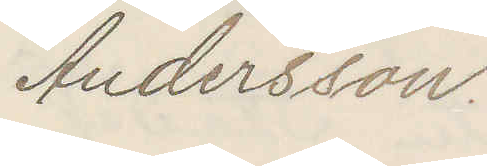Andersson.
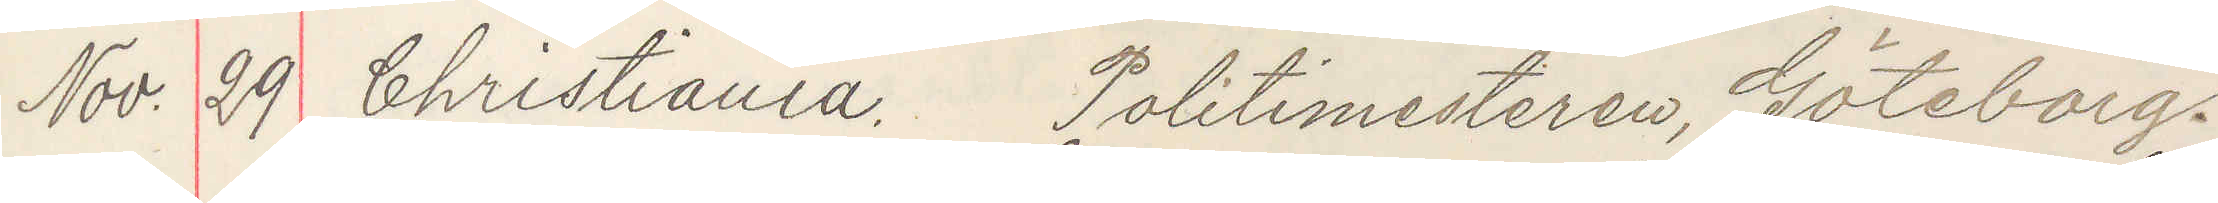Nov. 29 Christiania. Politimesteren, Göteborg.
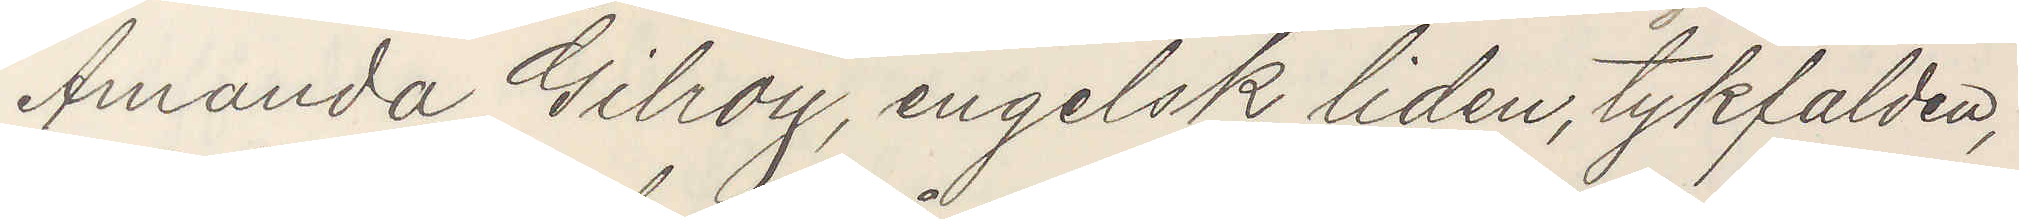Amanda Gilroy, engelsk, liden, tykfalden,
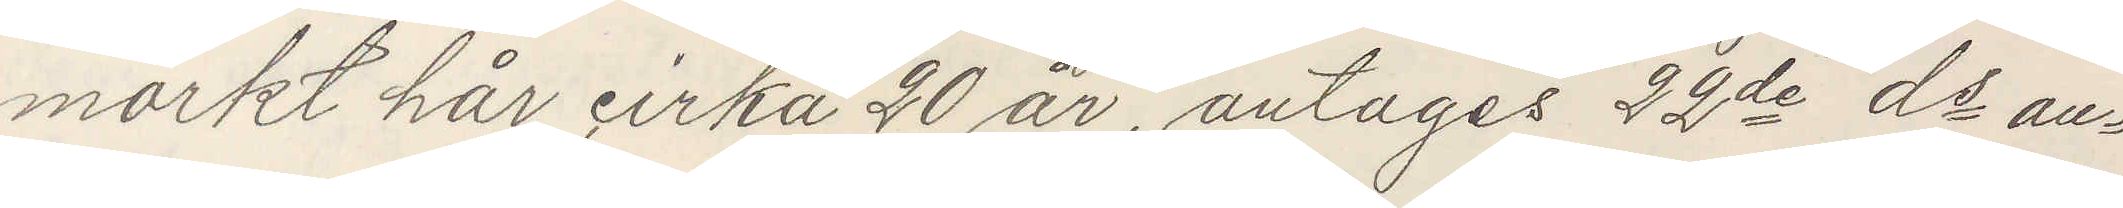mörkt hår, cirka 20 år, antages 22de ds an¬
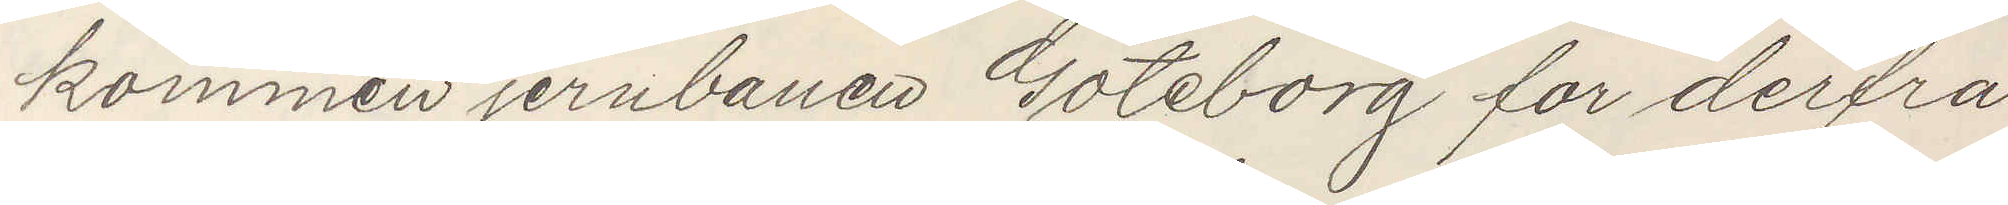kommen jernbanen Göteborg for derfra
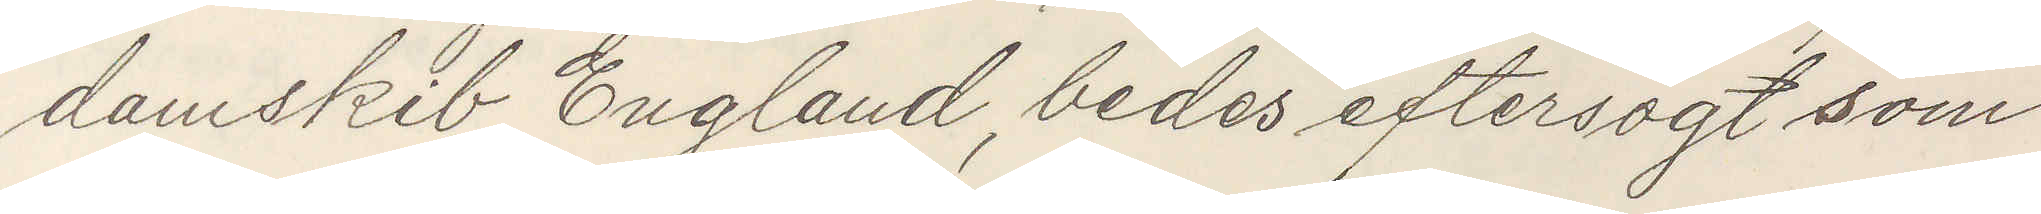damskib England, bedes eftersögt som
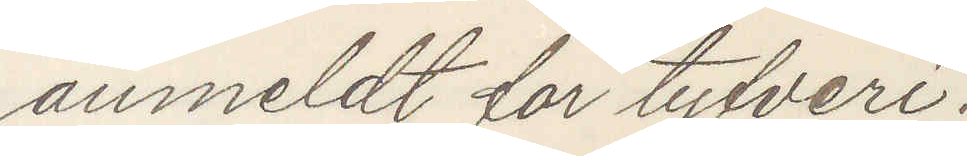anmeldt for tyfveri.
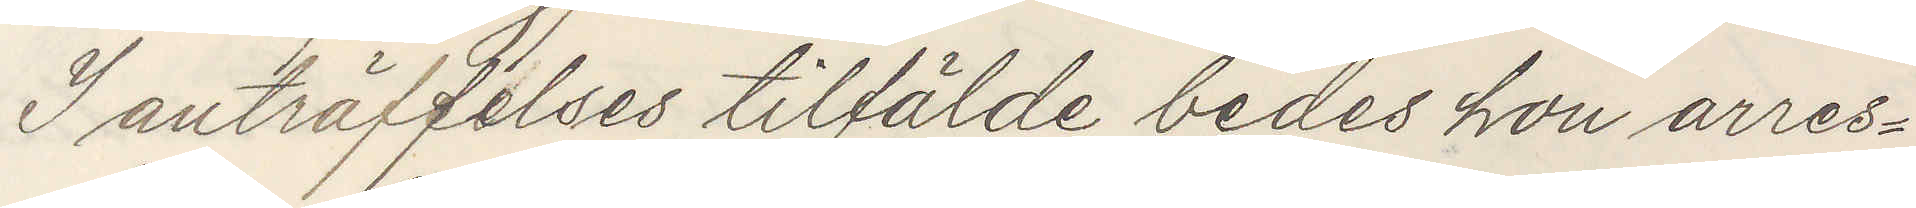I anträffelses tilfälde bedes hon arres¬
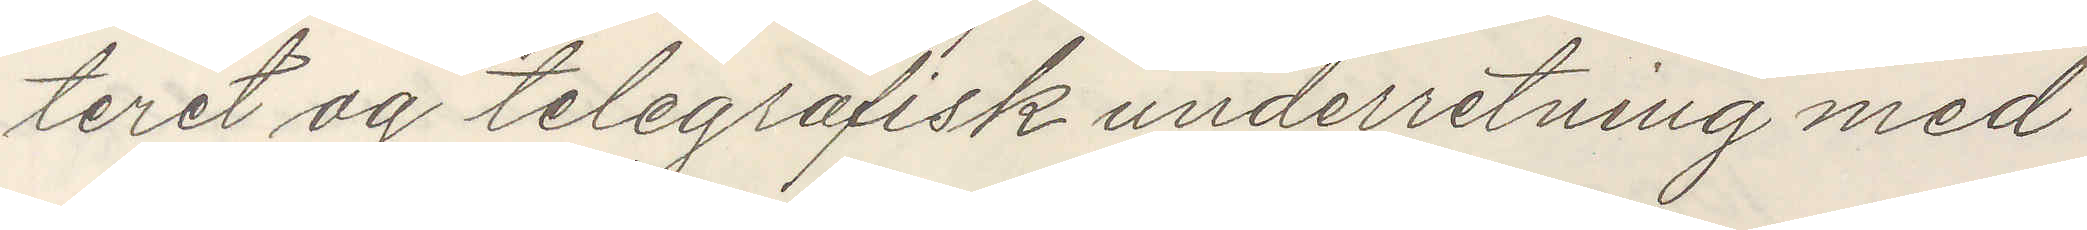teret og telegrafisk underretning med¬
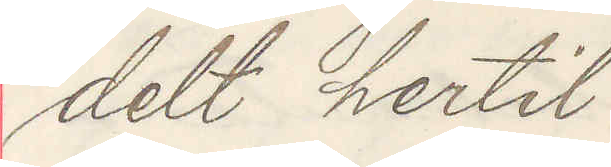delt hertil
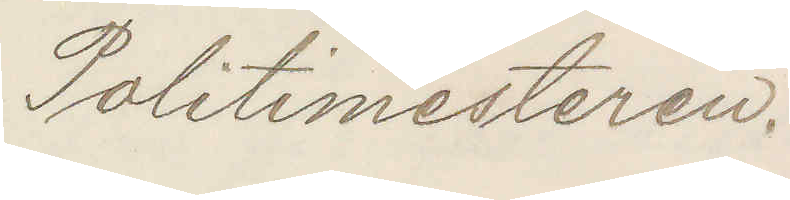Politimesteren.
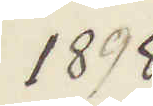1898
